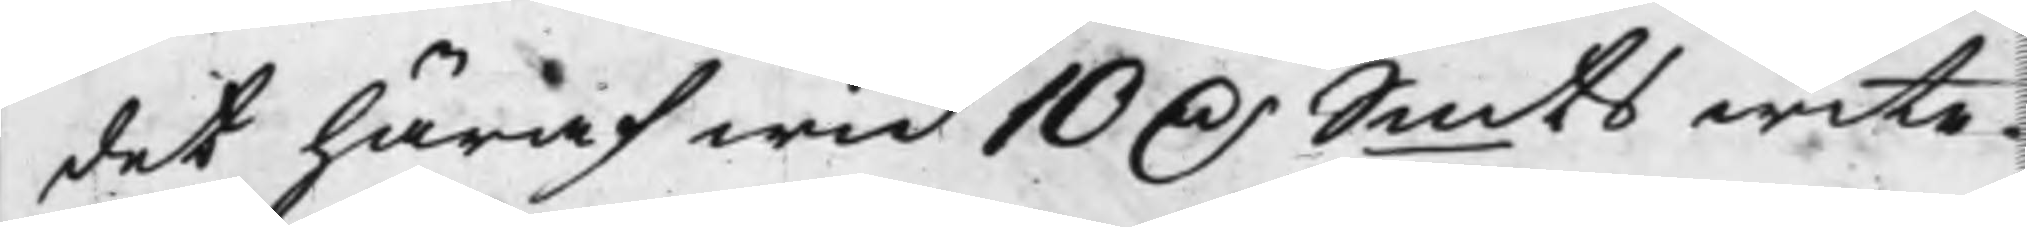det häraf wid 10 D.r Smts wite.
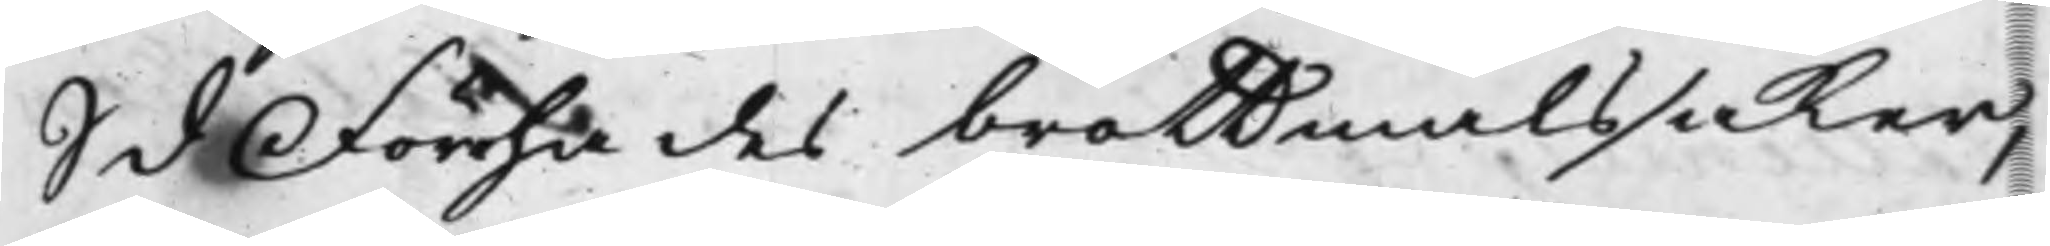S d Förhades brottmålssaker,
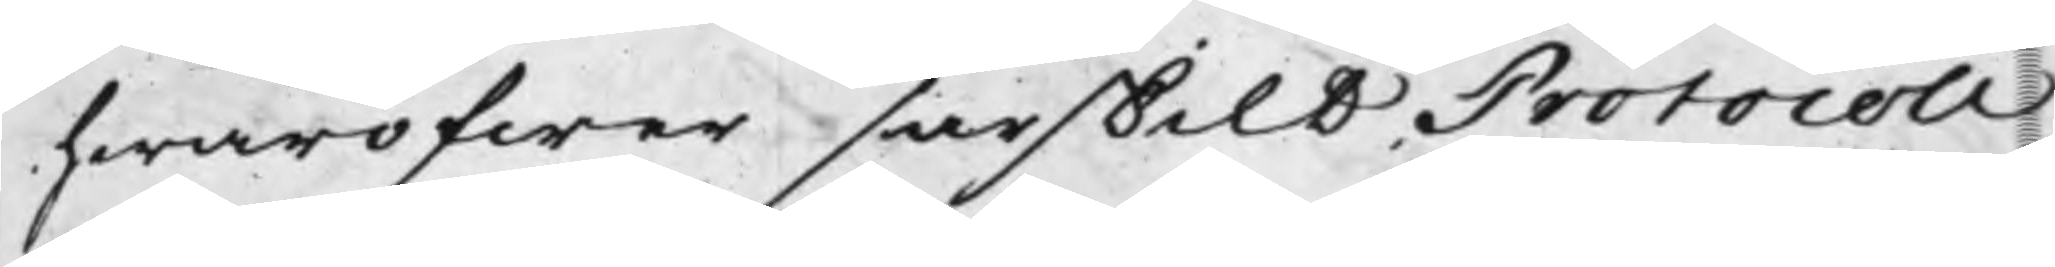hwaröfwer särskilt Protocoll
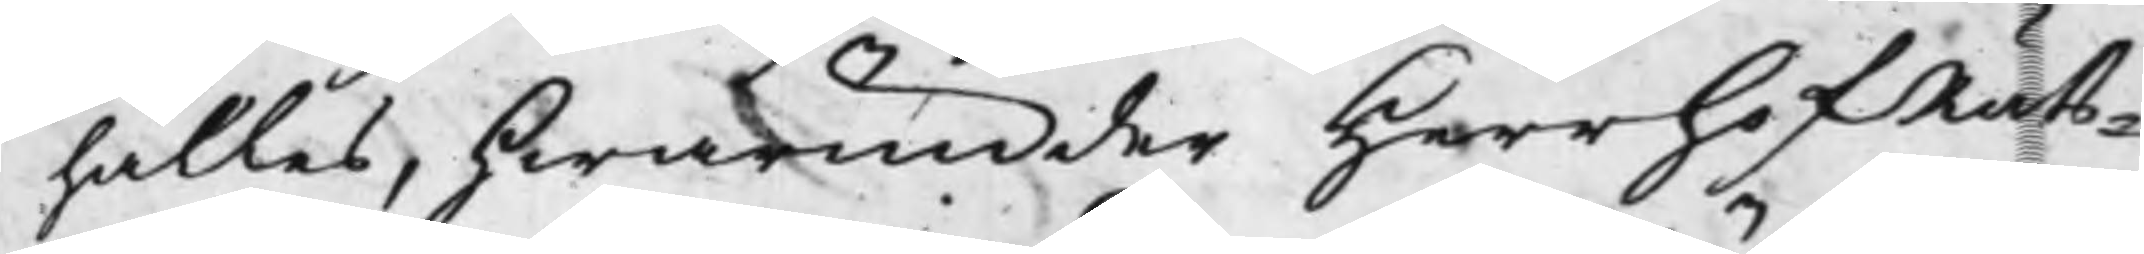hålles, hwarunder Herr HofRäts¬
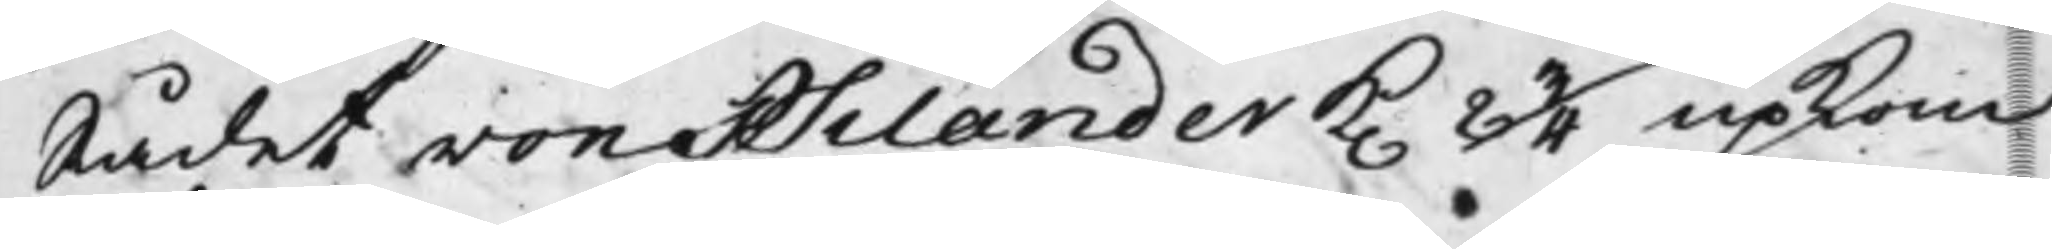Rådet von Psilander K. 2 3/4 upkom
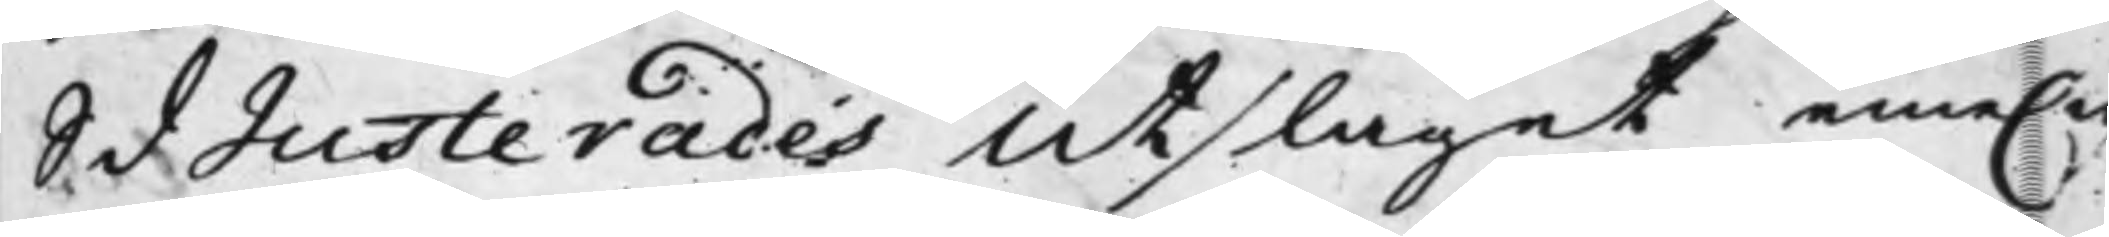S d Justerades Utslaget eme.n
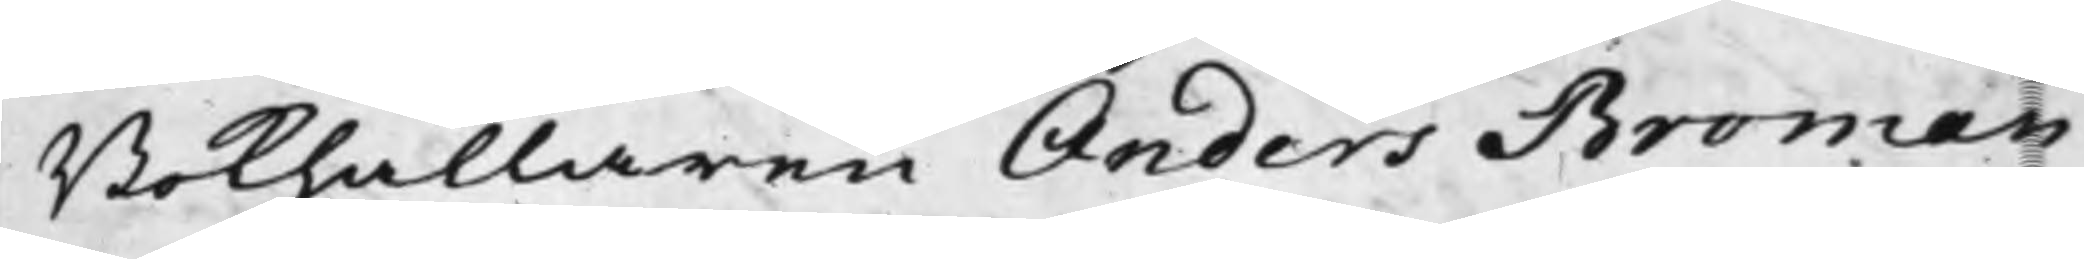Bokhållaren Anders Broman
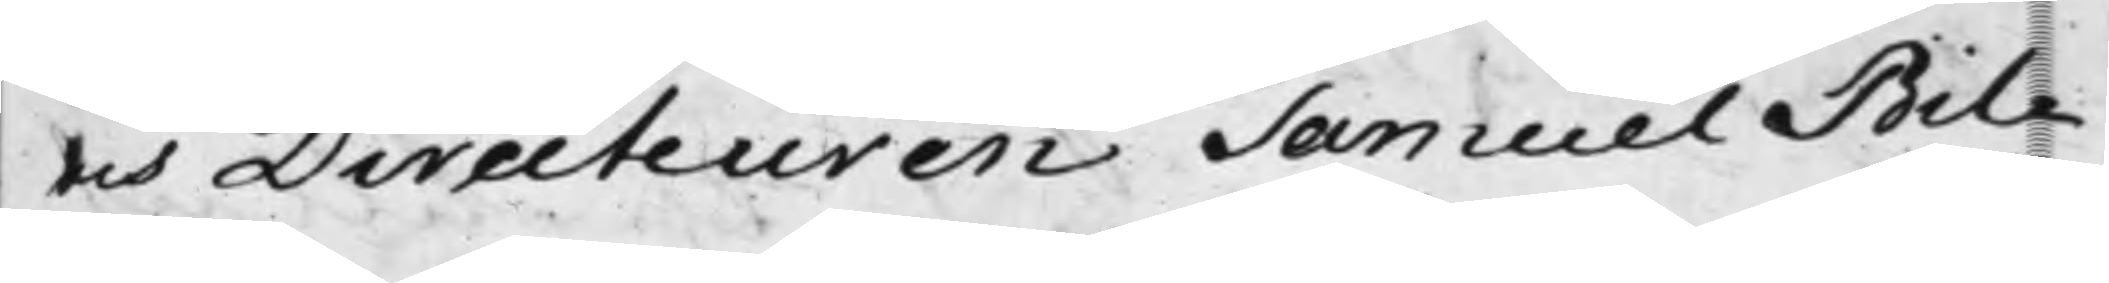och Directeuren Samuel Bil¬
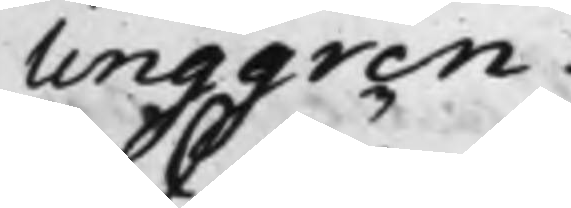linggren.
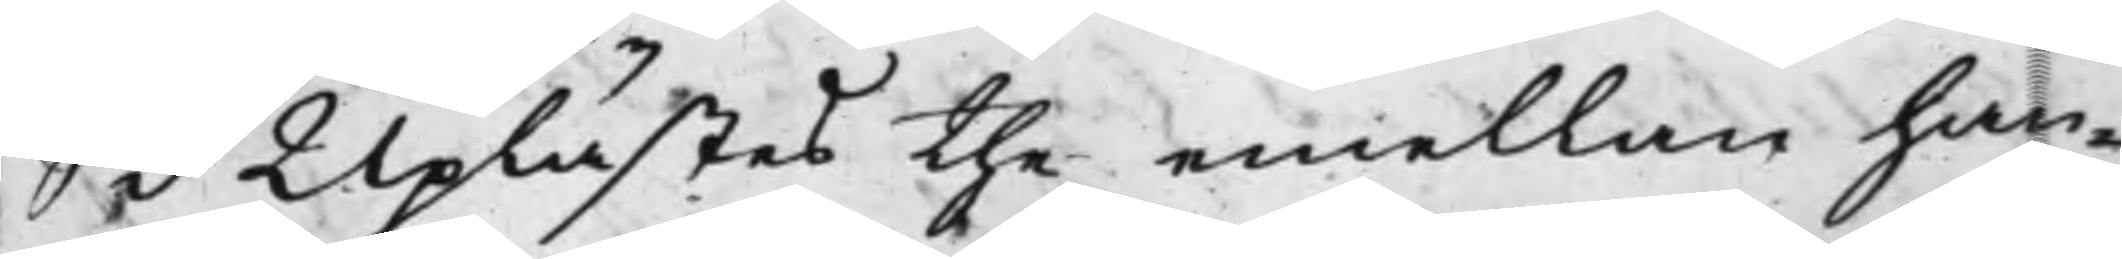S d Uplästes the emellan han¬
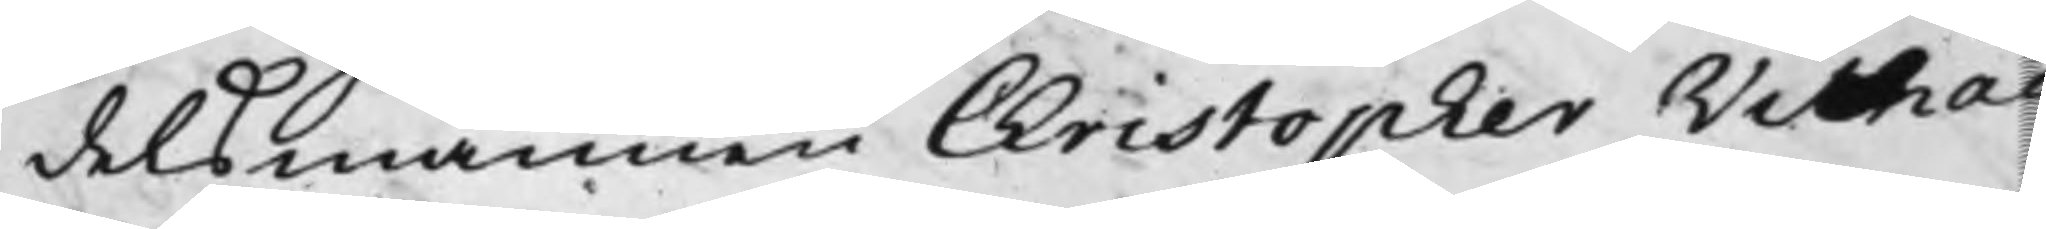delsmannen Christopher Wilhad
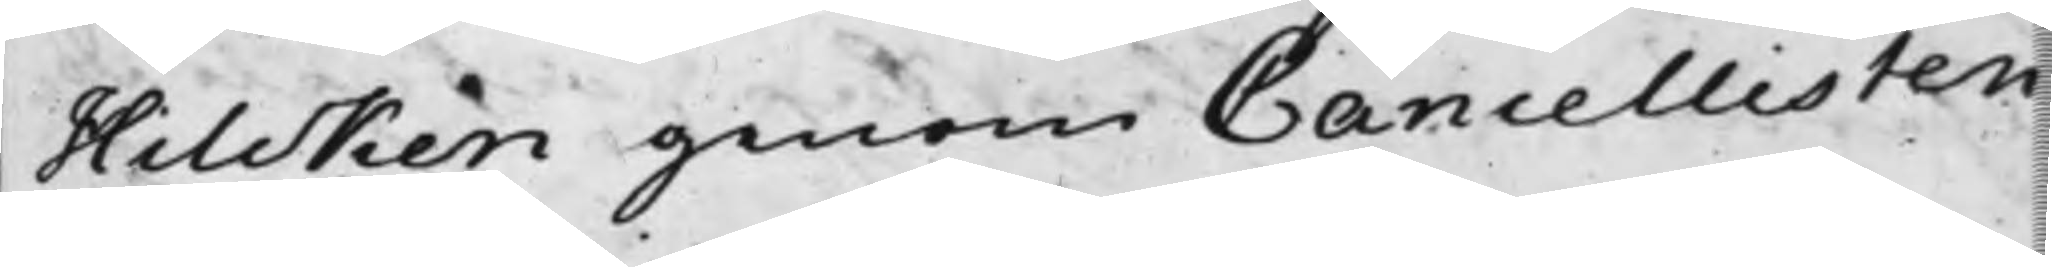Hilcken genom Cancellisten
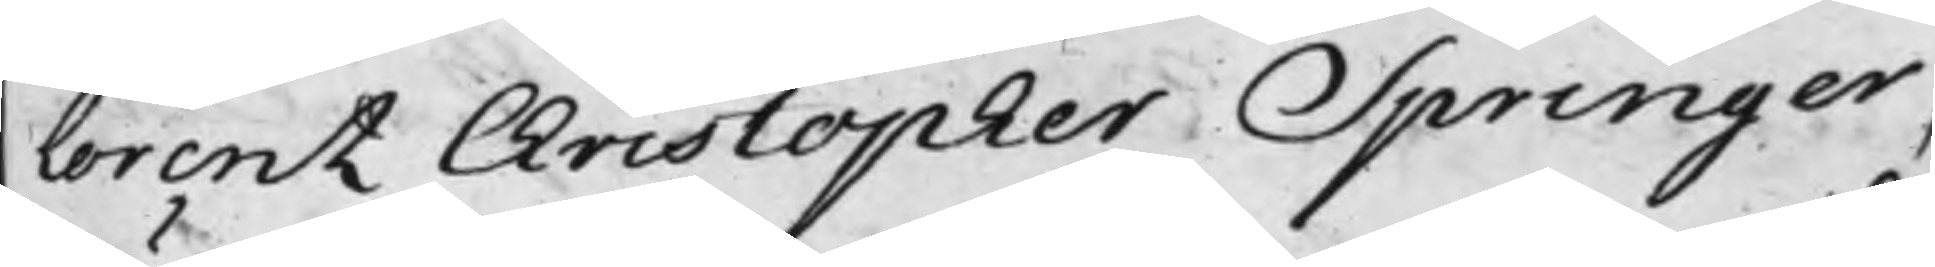Lorentz Christopher Springer,
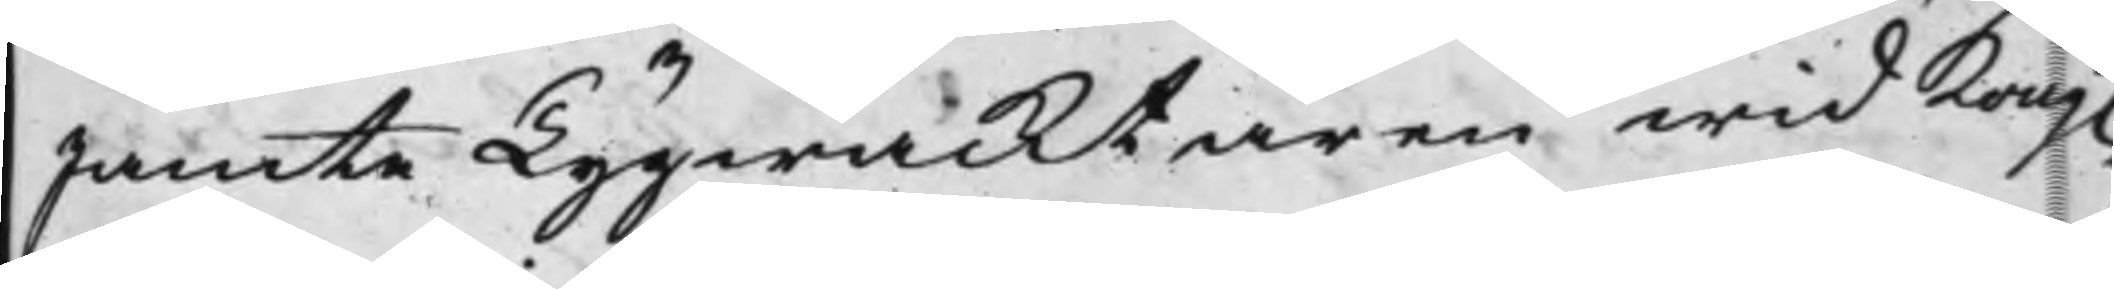Jämte Tygwacktaren wid Kong.
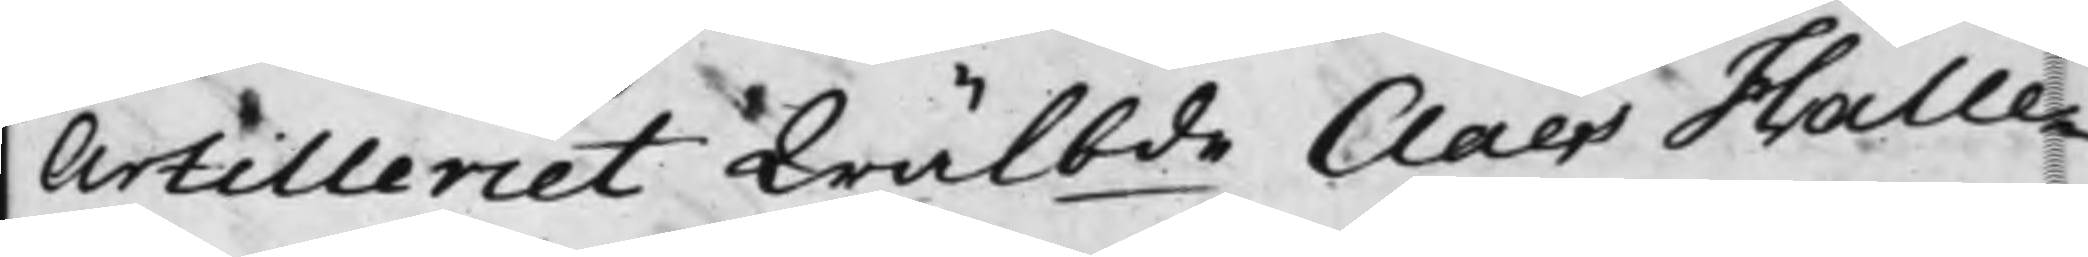Artilleriet Wälbde Claes Halle¬
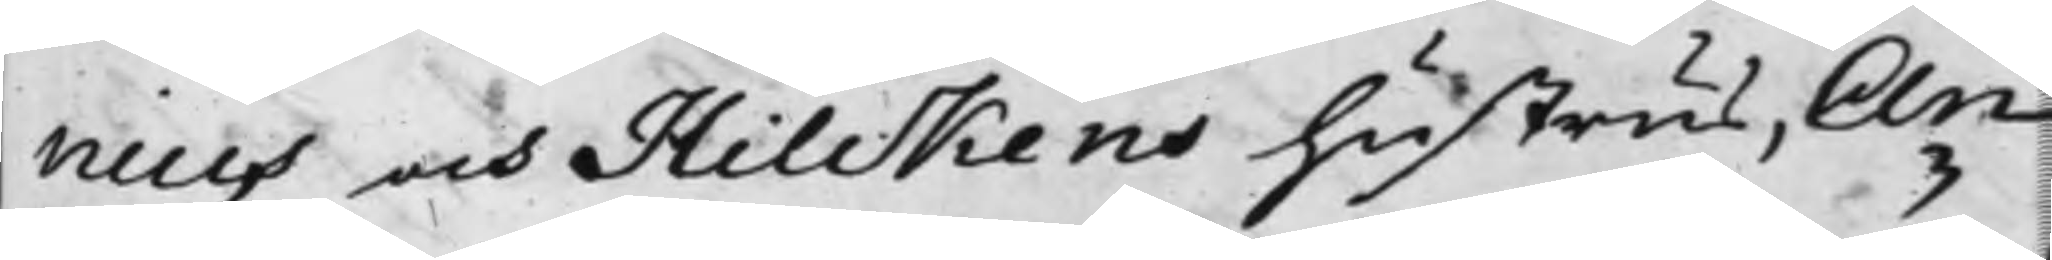nius och Hilckens hustrus, An¬
